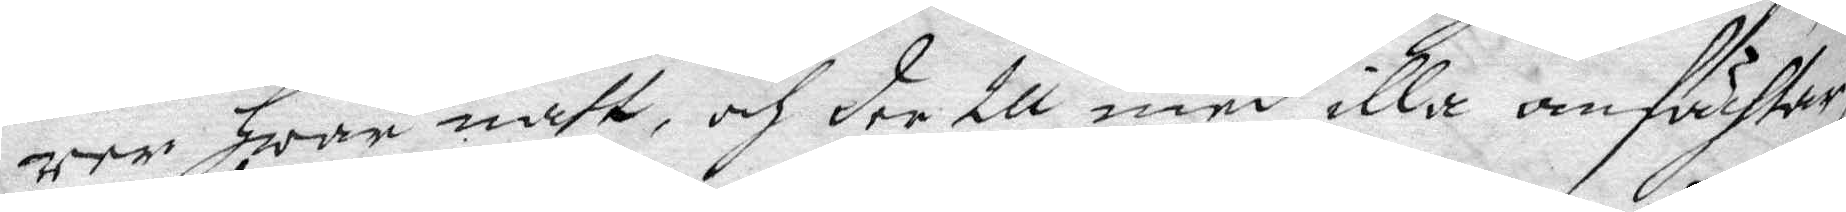rer hwar natt, och der till med iall anfächtar,
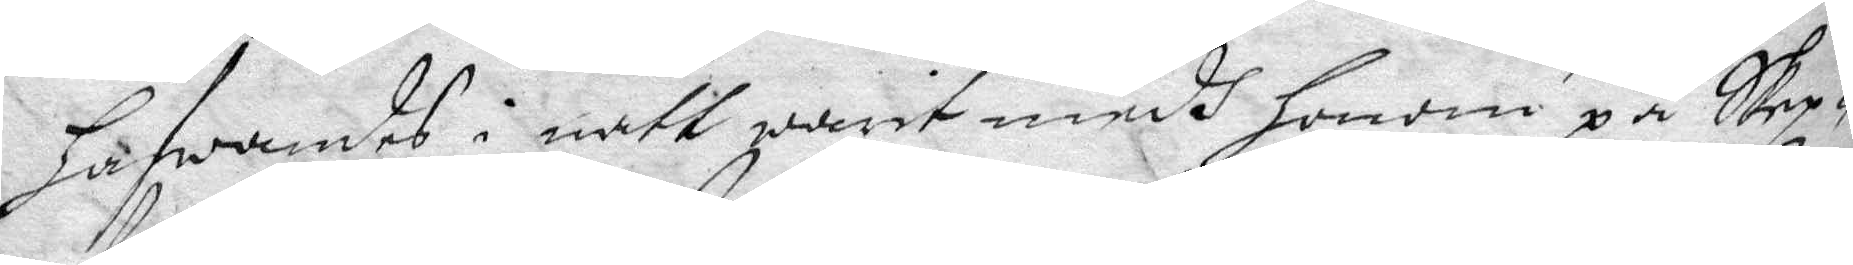hafwandes i natt warit medh honom på Skep¬
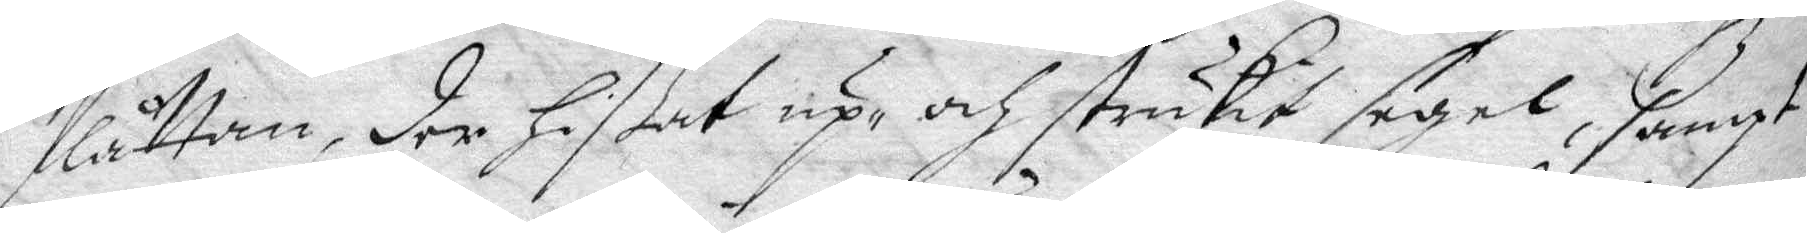flåttan, der hißat up och strukit segel, sampt
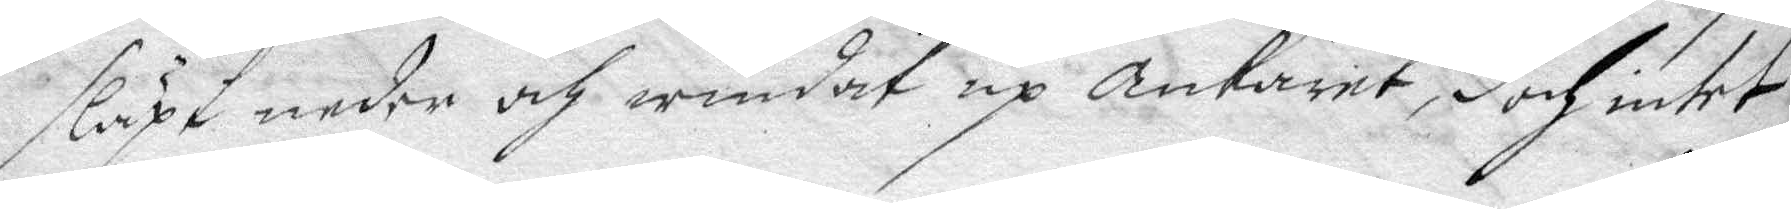släpt neder och windat up ankaret, doch intet
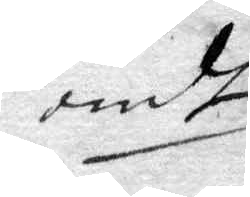ondt
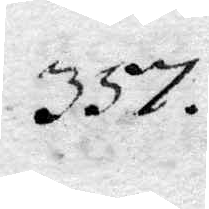357.
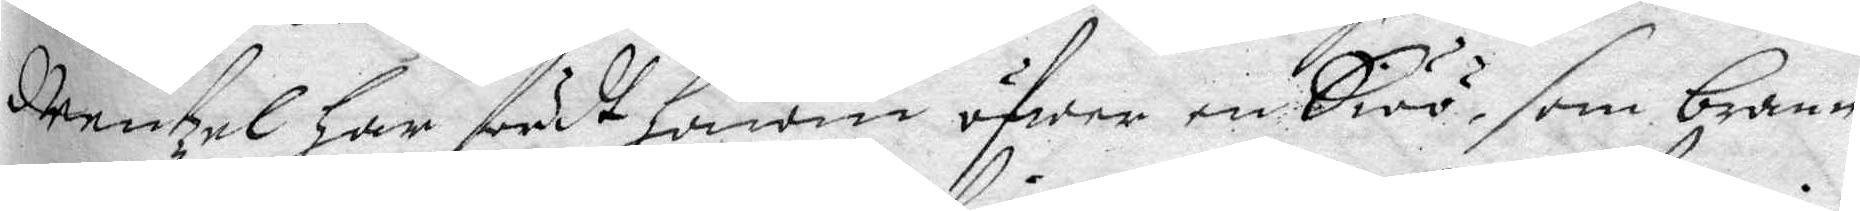Mentzel har fördt honom öfwer en Siöö, som brann
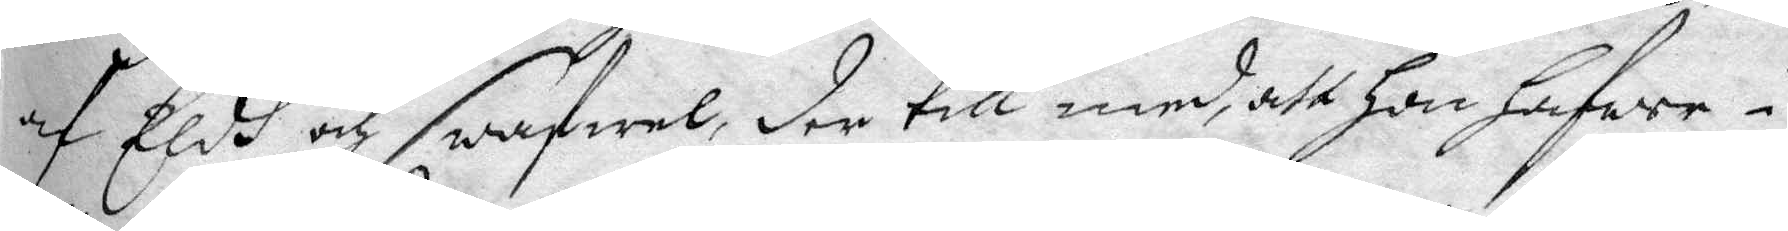af Eldh och swafwel, der till med, att hon hafwer i
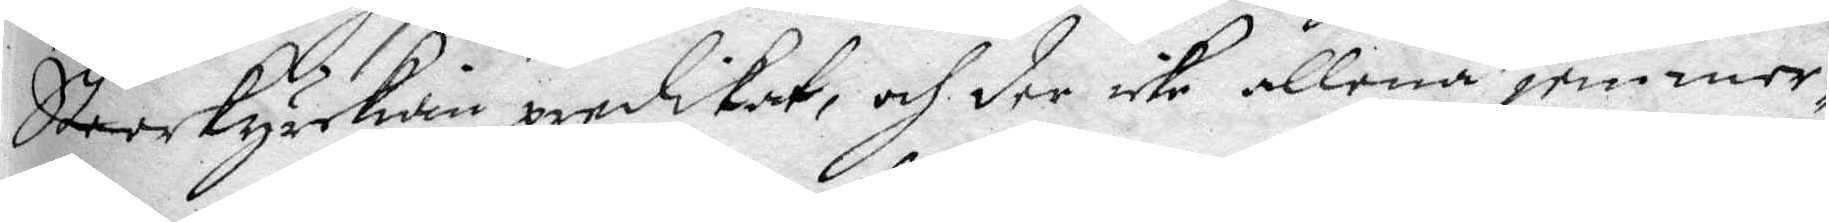Stoorkyrkian predikat, och icke allena jemmer¬
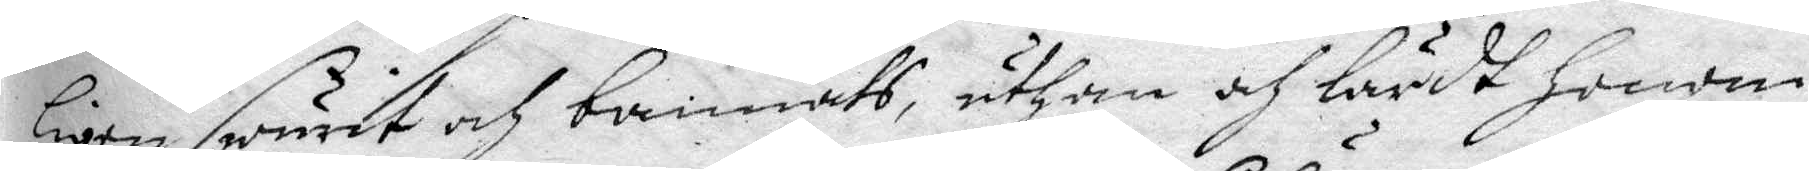ligen swurit och bannath, uthan och lärdt honom
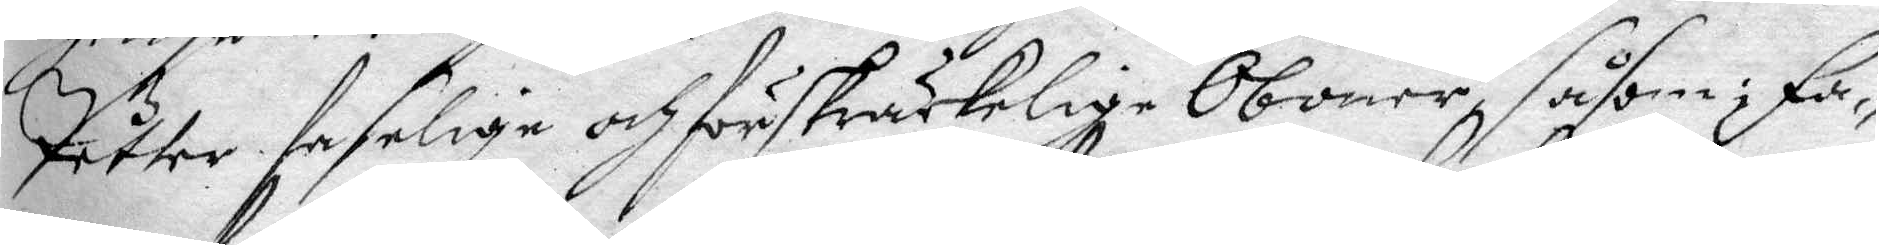Petter faselige och förskräckelige Oböner, såsom; Fa¬
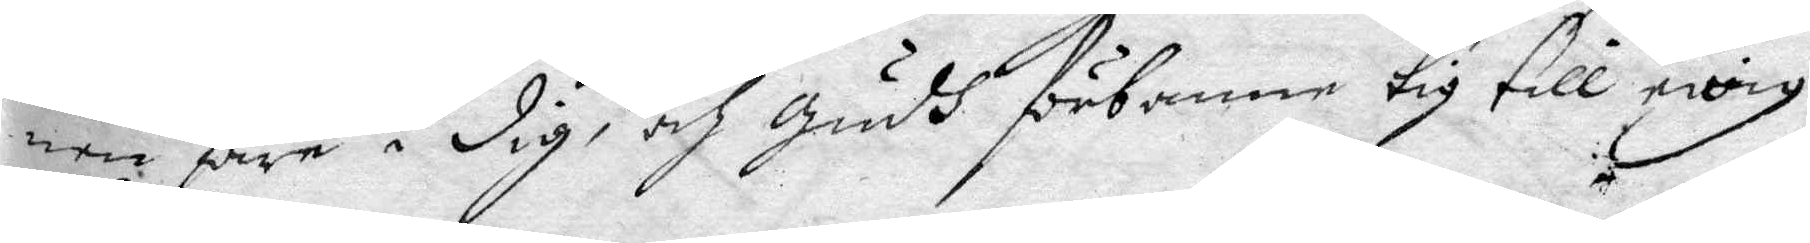nen fara i dig, och Gudh förbanne tig till ewig
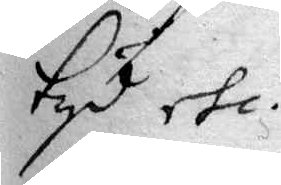tyd etc.
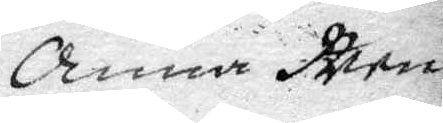Anna Men¬
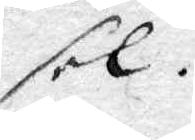sel.
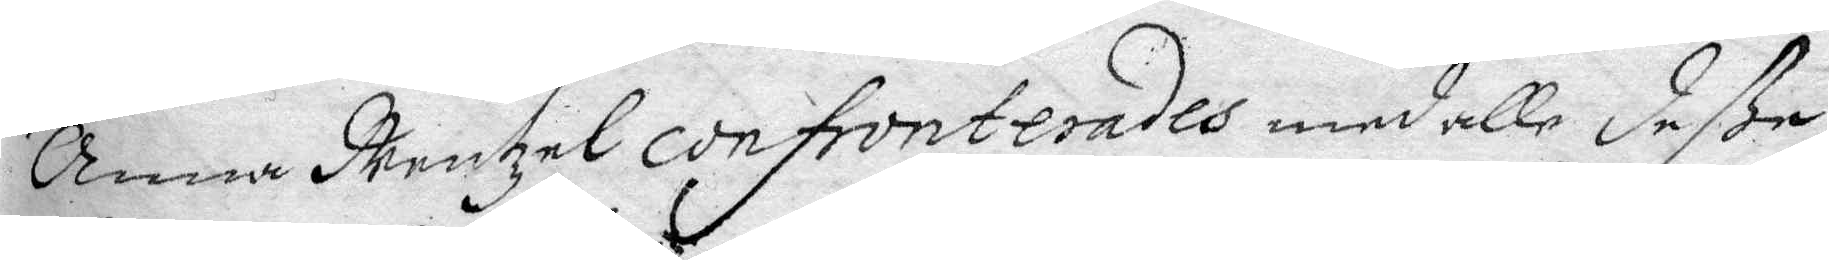Anna Mentzel confronterades med alle deße
